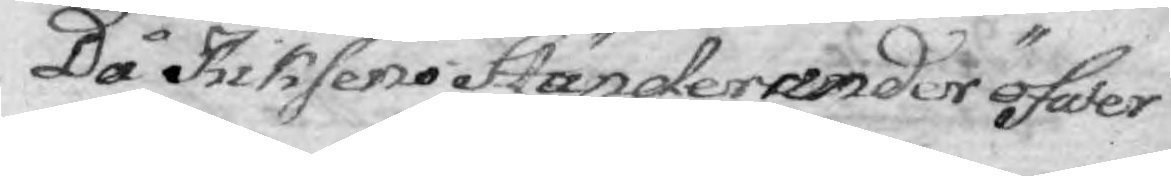Då Rriksens Ständer under öfwer
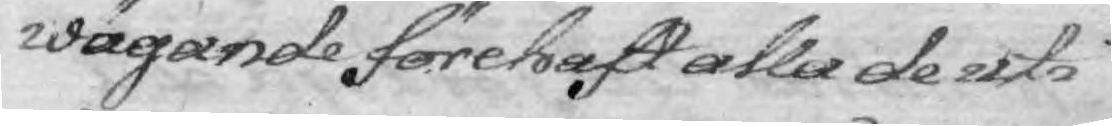wägande förehaft alla de uti
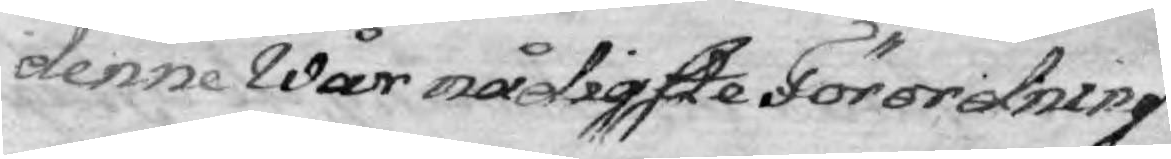denne Wår nådigste Förordning
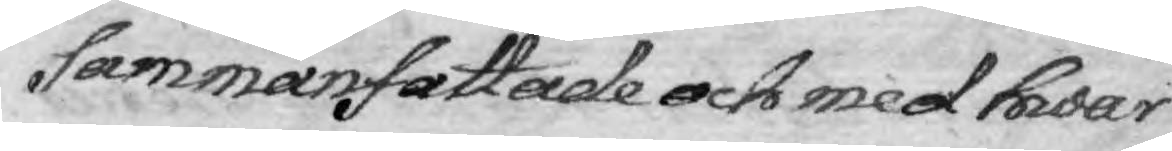sammanfattade och med hwar
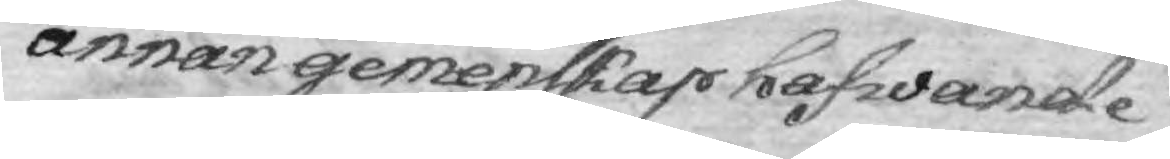annan gemenskap hafwande
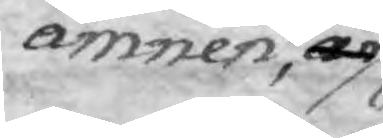ämnen, är
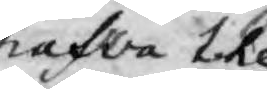hawfa like
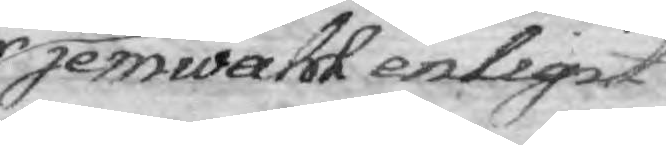jemwähl enligit
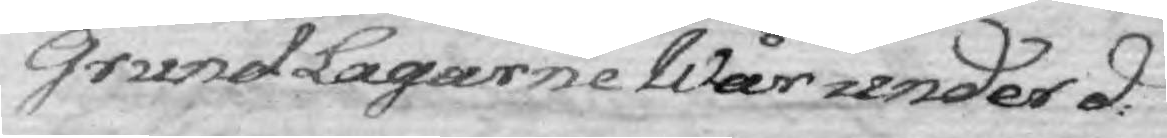Grund Lagarne Wår under d:
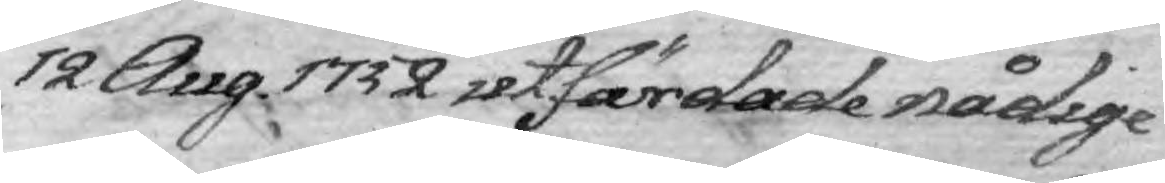12 Aug. 1732 utfärdade nådige
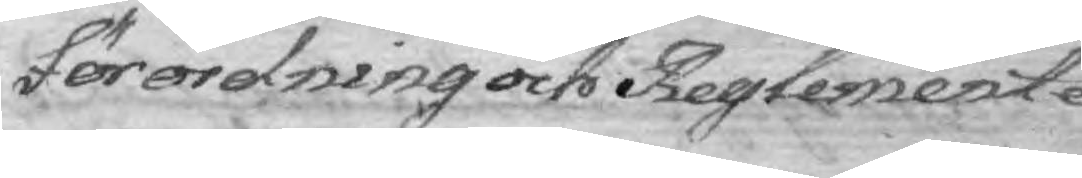Förordning och Reglemente
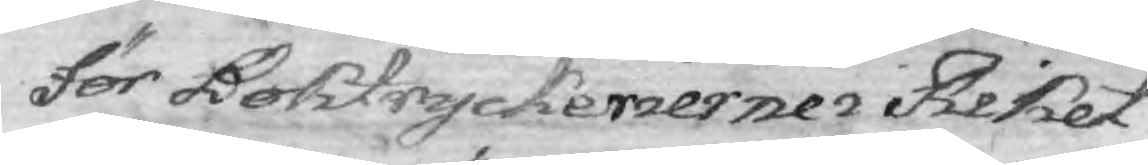fer Boktryckeriernes i Riket
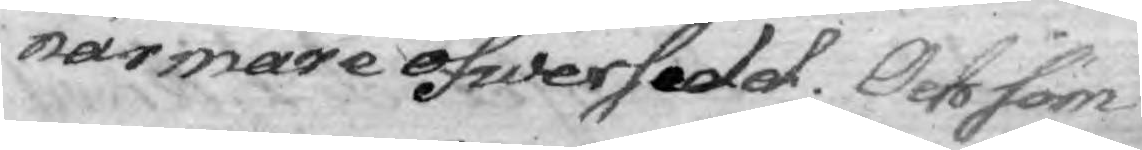närmare öfwersedd. Och som
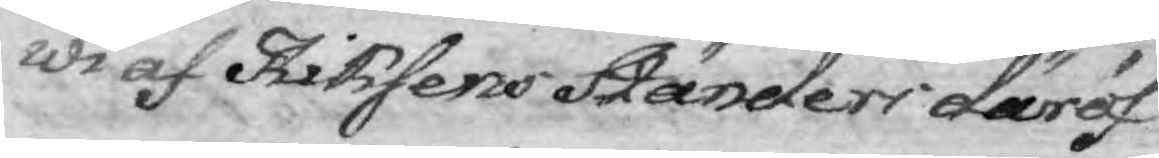wi af Riksens Ständers däröf¬
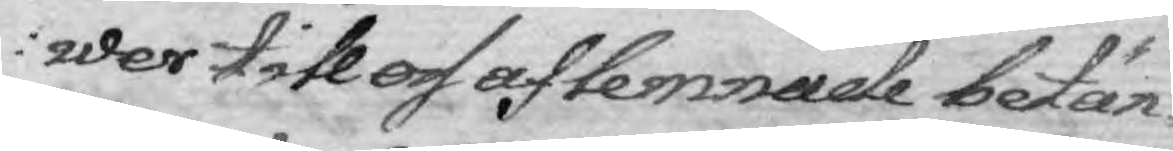wer till oss aflemnade betän¬
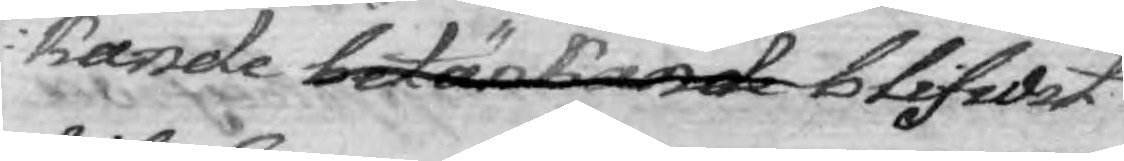kande betänkande blifwit
